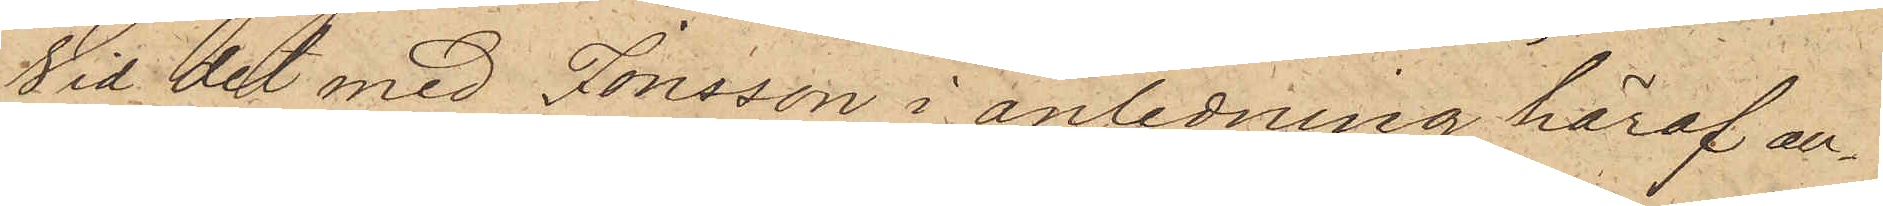Vid det med Jonsson i anledning häraf an¬
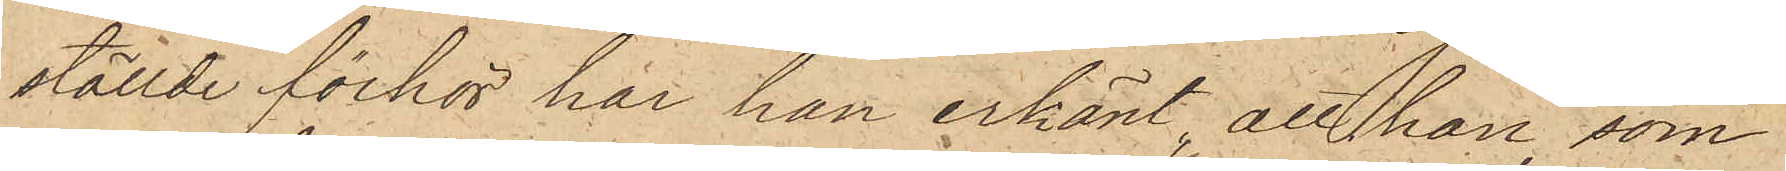ställde förhör har han erkänt, att han, som
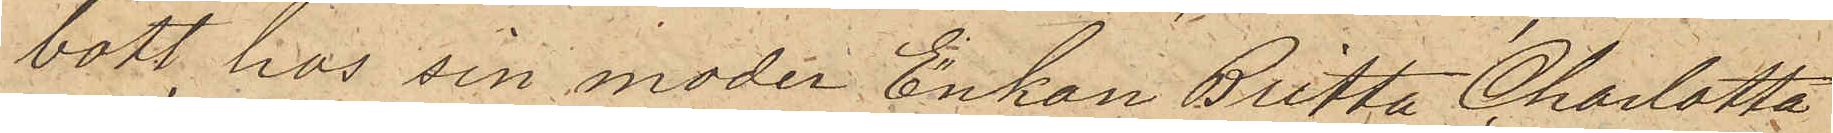bott hos sin moder Enkan Britta Charlotta
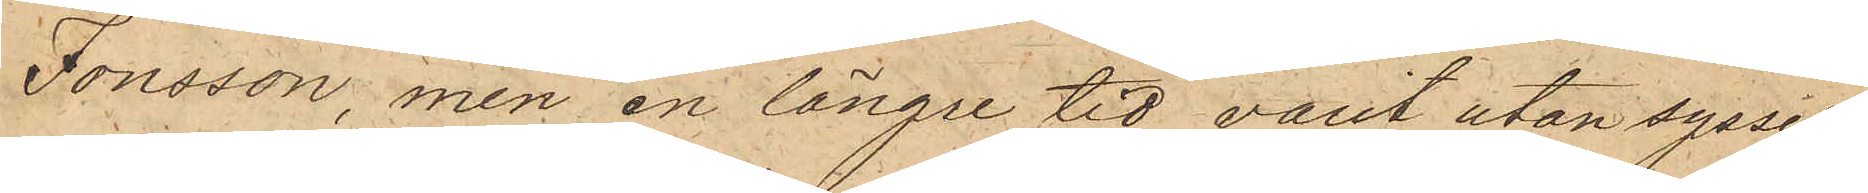Jonsson, men en längre tid varit utan syssel¬
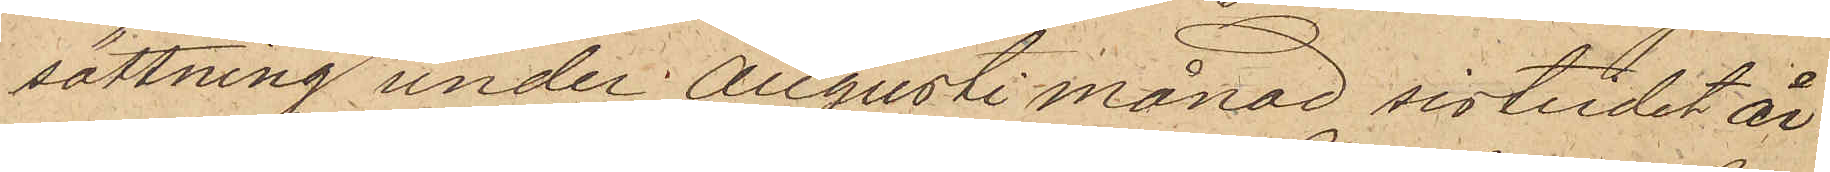sättning under Augusti månad sistlidet år
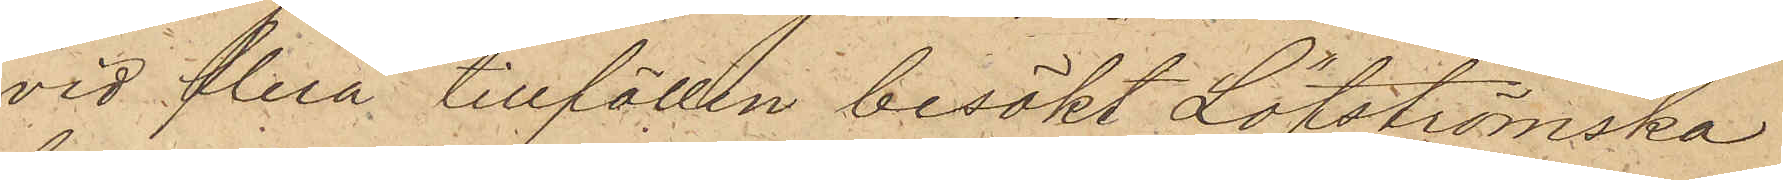vid flera tillfällen besökt Löfströmska
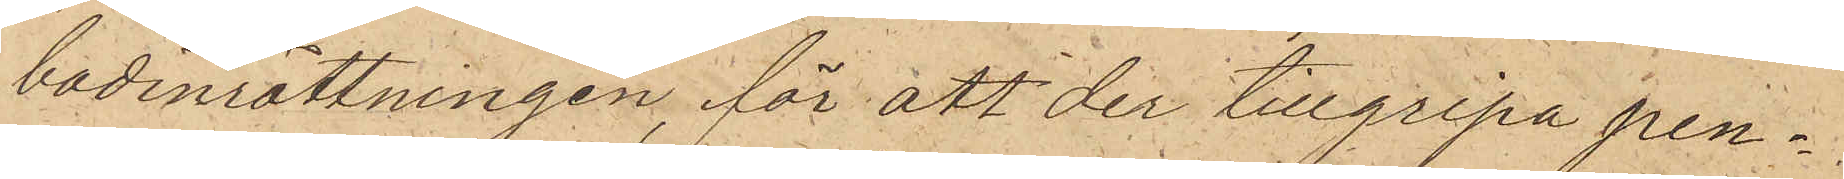badinrättningen, för att der tillgripa pen¬
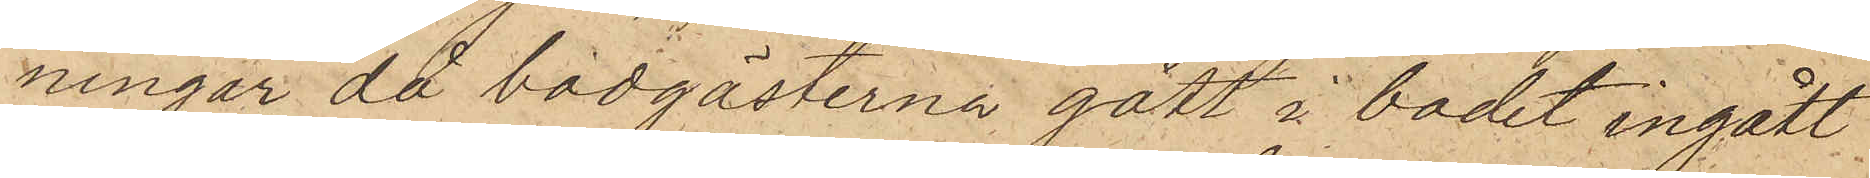ningar då badgästerna gått i badet ingått
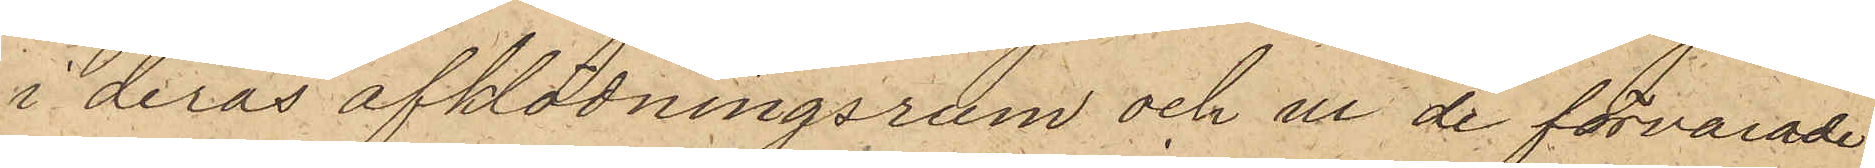i deras afklädningsrum och ur de förvarade
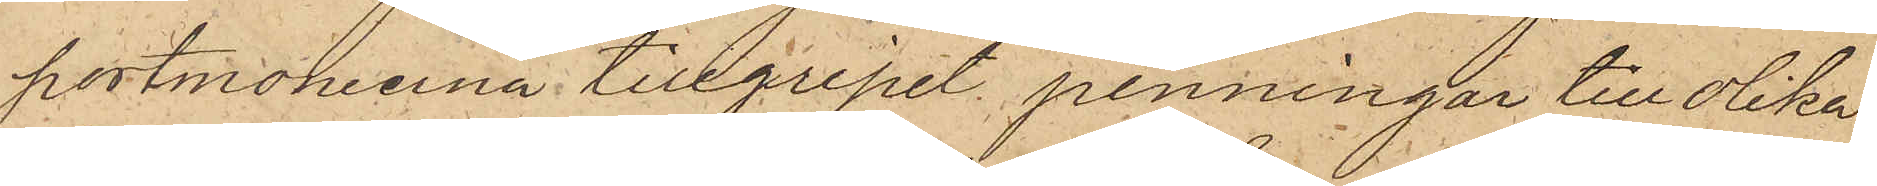portmoneerna tillgripit penningar till olika
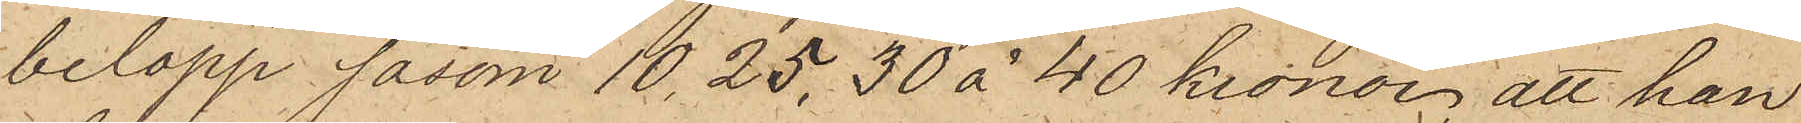belopp såsom 10, 25, 30 à 40 kronor; att han
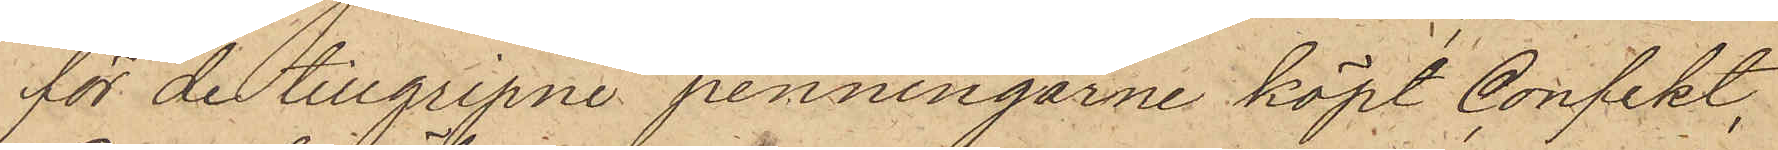för de tillgripne penningarne köpt Confekt,
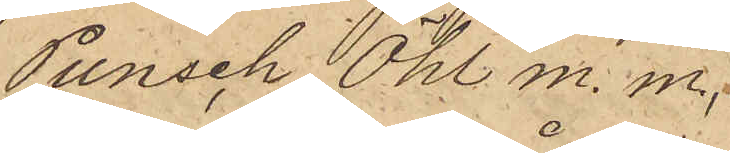Punsch, Öhl m. m.,
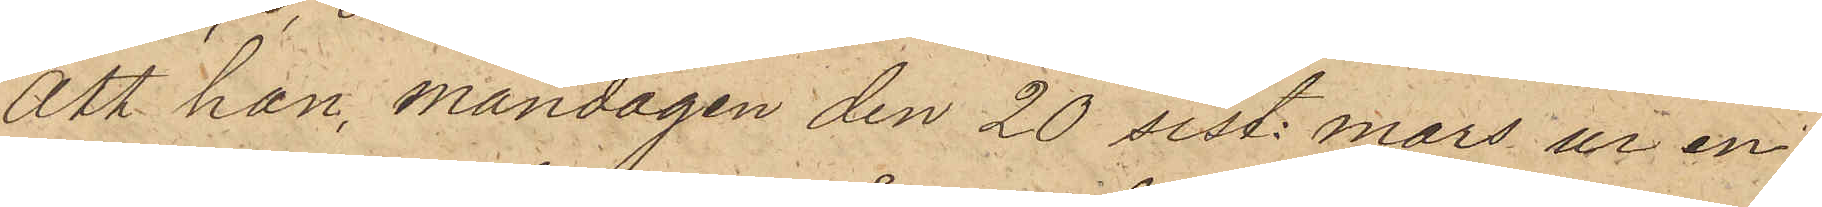att han, måndagen den 20 sist. mars ur en
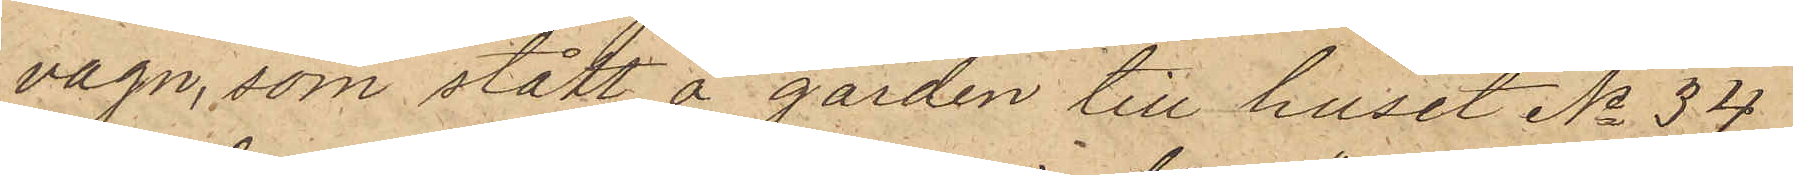vagn, som stått å gården till huset No 34
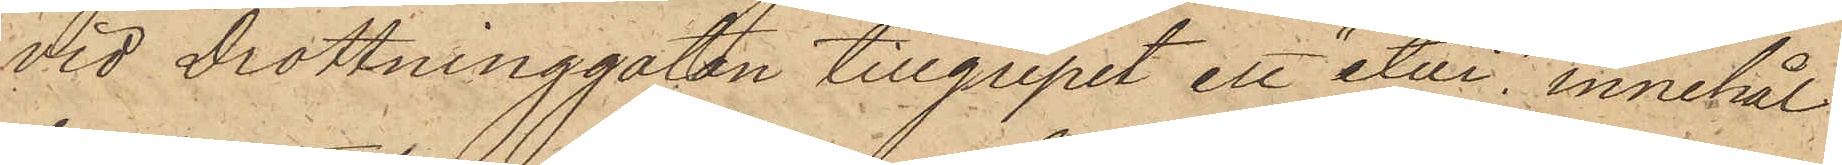vid Drottninggatan tillgripit ett "etui", innehål¬
